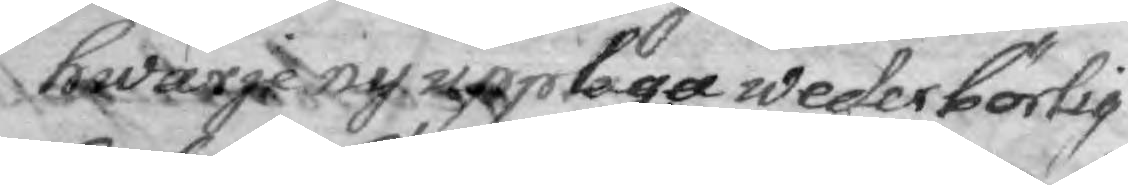hwarje ny upplaga wederbörlig
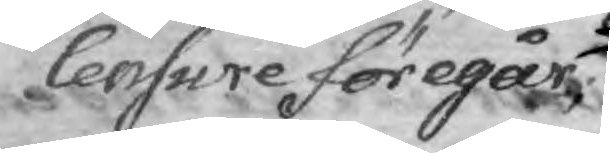Censure föregår
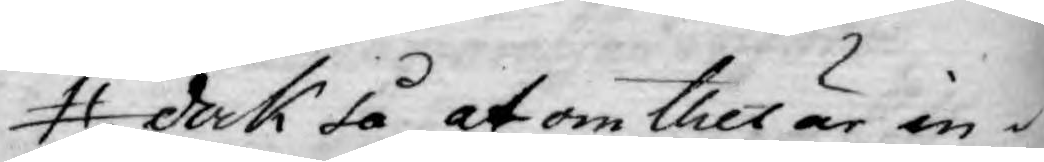dock så, at om thet är in¬
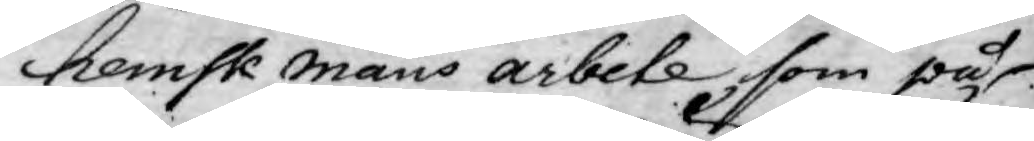hemsk mans arbete, som på
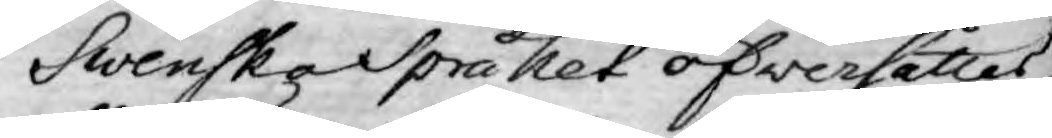Swenska Språket öfwersättes
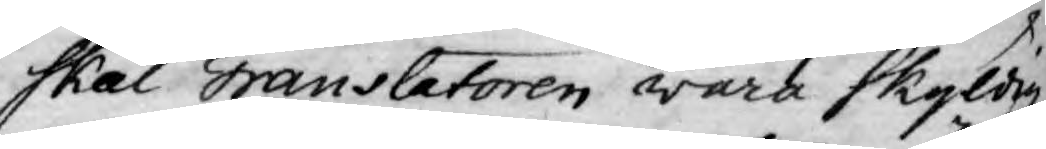skal Translatoren wara skyldig
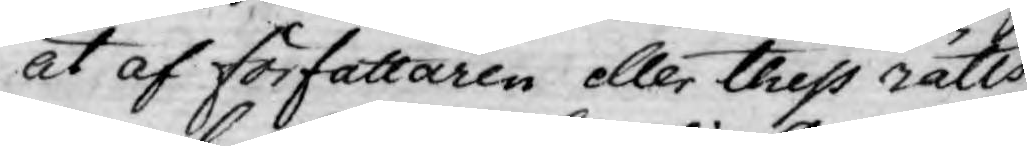at af författaren eller thess rätts
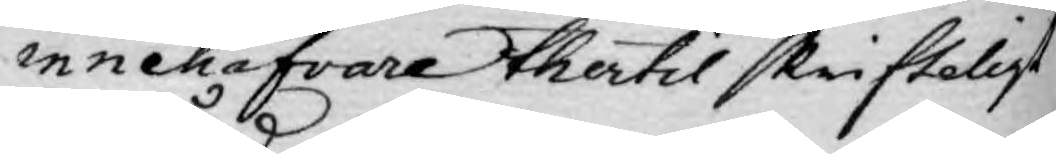innehafvare thertil skrifteligt
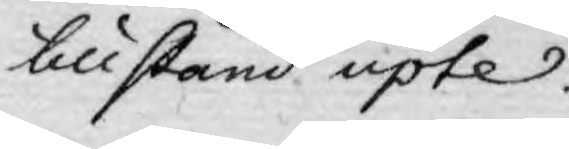tillstånd upte.
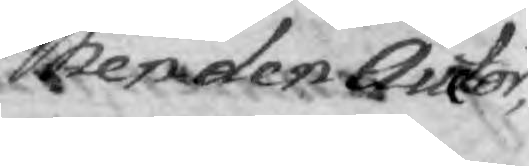Men den Auctor,
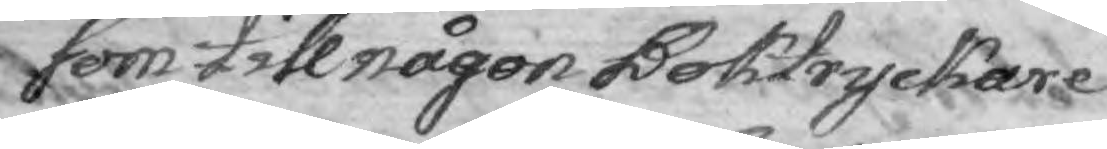som till någon Boktryckare
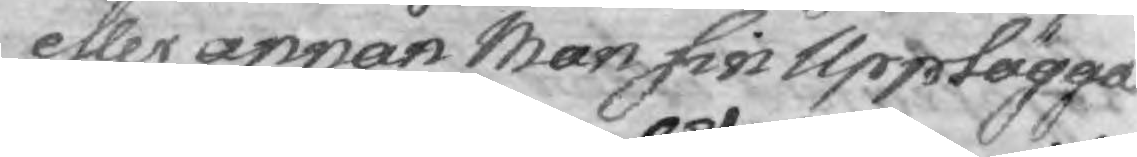eller annan Man sin Upplägga¬
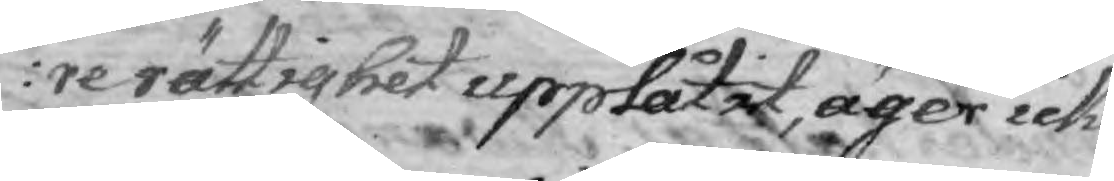re rättighet upplåtit, äger icke
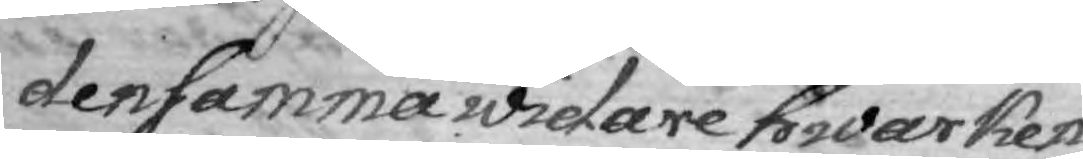densamma widare hwarken
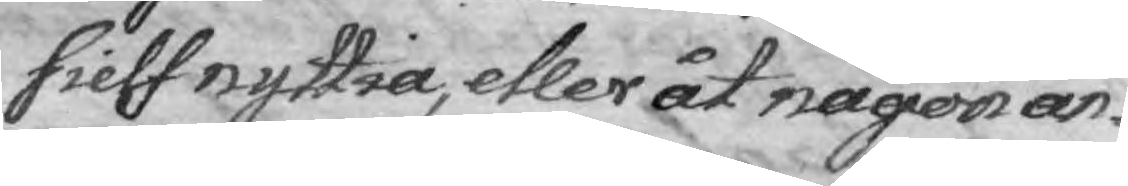sielf nyttia, etler åt någon an¬
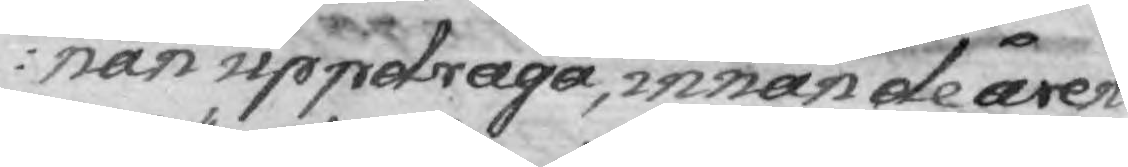nan uppdraga, innan de åren
